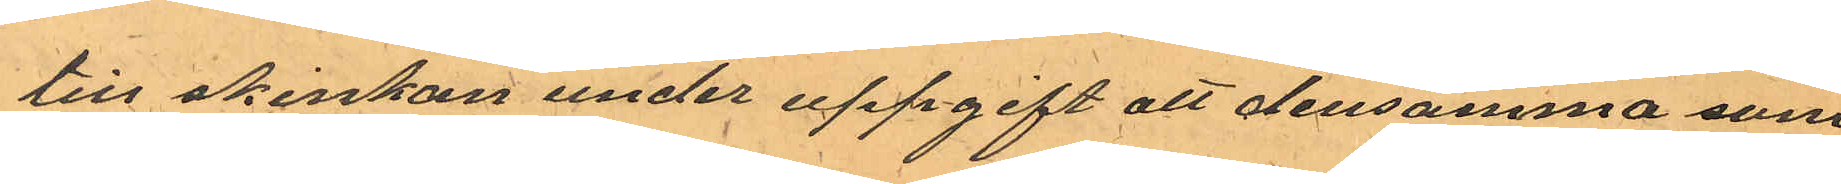till skinkan under uppgift att densamma som
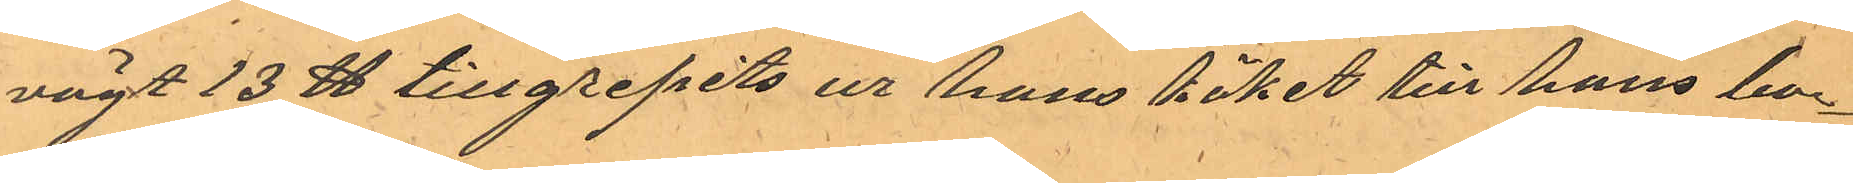vägt 13 ℔ tillgripits ur hans köket till hans bo¬
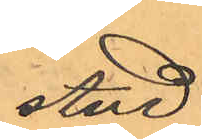stad
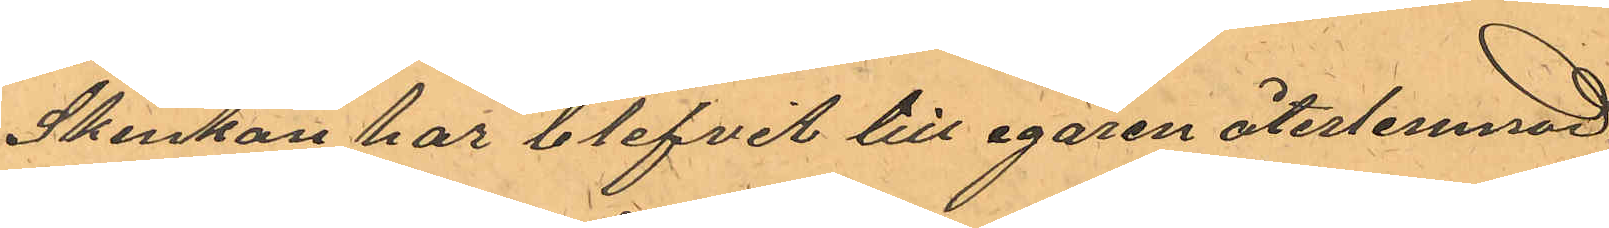Skinkan har blefvit till egaren återlemnad.
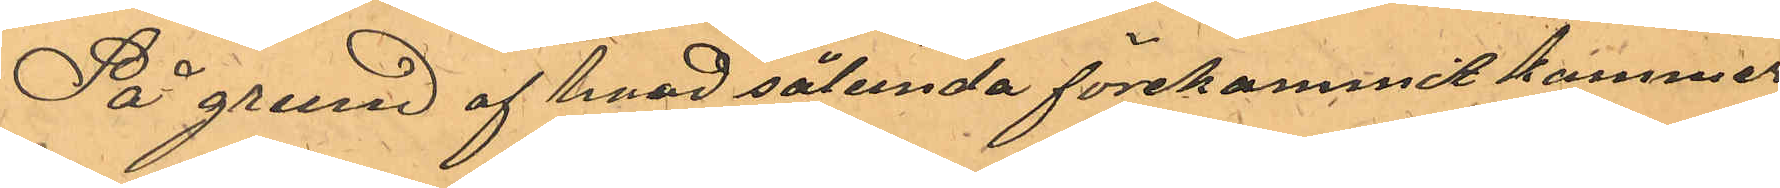På grund af hvad sålunda förekommit kommer
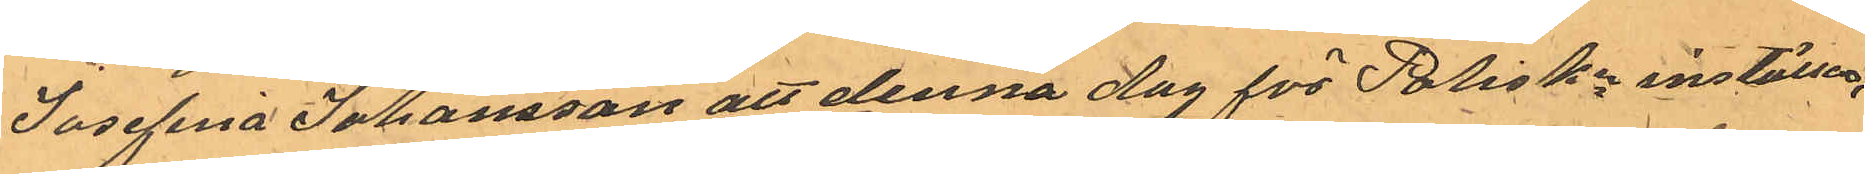Josefina Johansson att denna dag för PolisKn inställas.
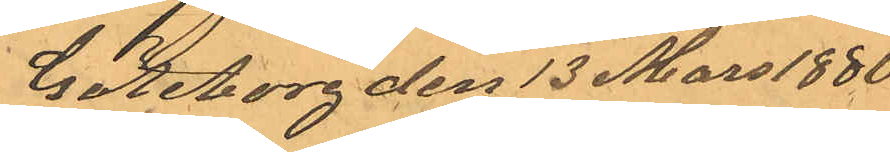Göteborg den 13 Mars 1880
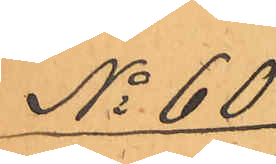No 60
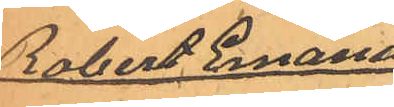Robert Emanu¬
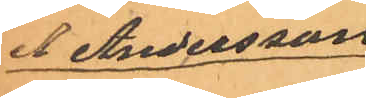el Andersson
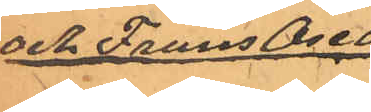och Frans Oscar
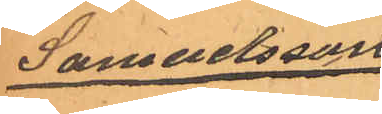Samuelsson
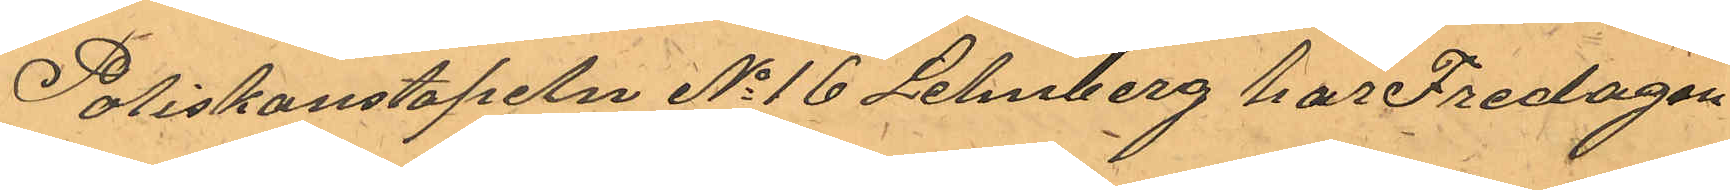Poliskonstapeln No 16 Lehnberg har Fredagen
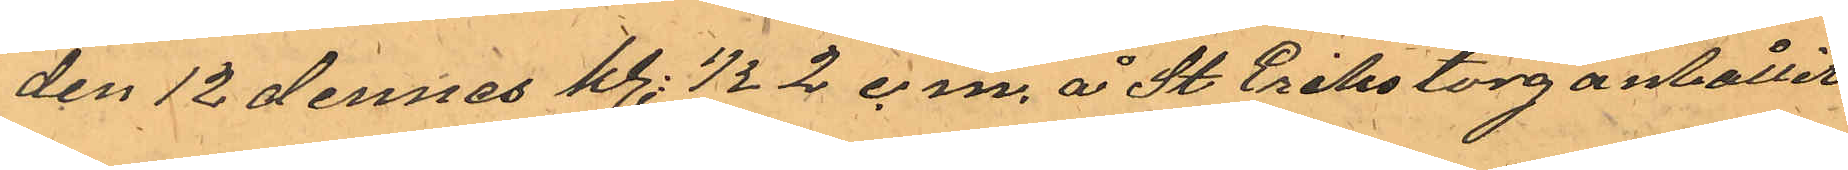den 12 dennes kl. 1/2 2 e.m. å St Eriks torg anhållit
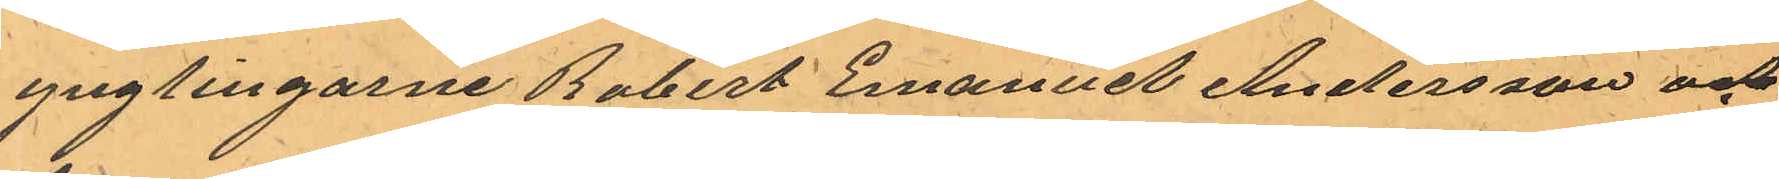ynglingarne Robert Emanuel Andersson och
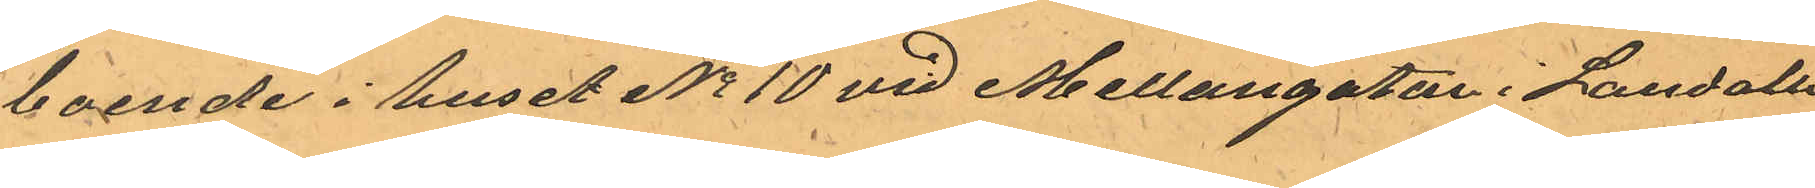boende i huset No 10 vid Mellangatan i Landala
